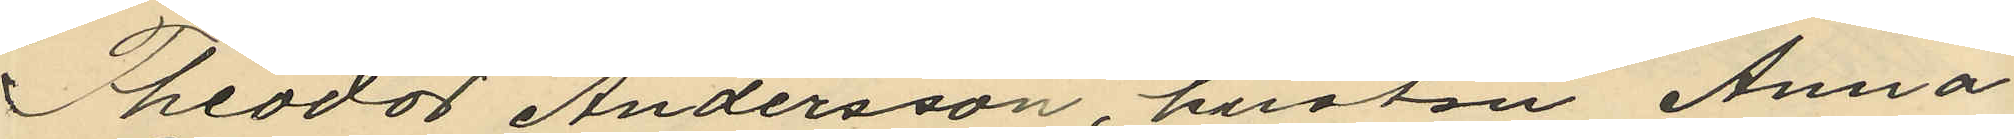Theodor Andersson, hustrun Anna
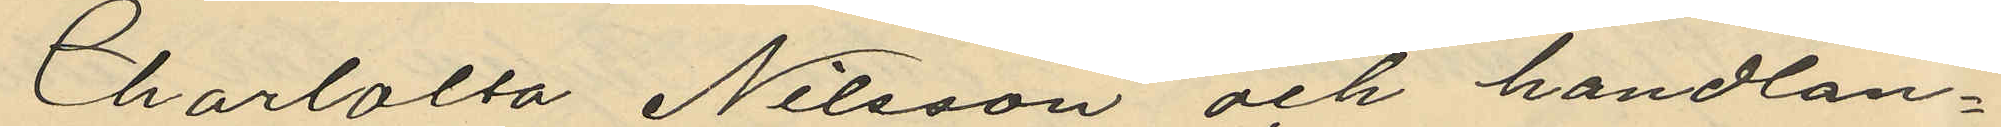Charlotta Nilsson och handlan¬
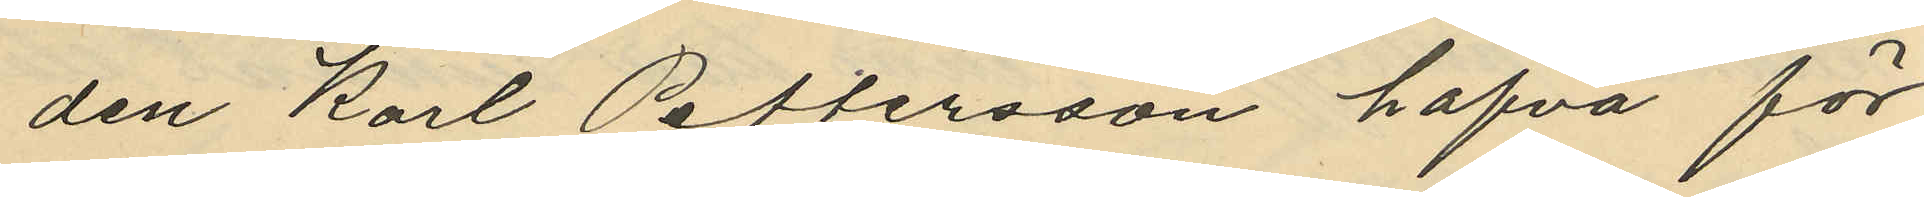den Karl Pettersson hafva för
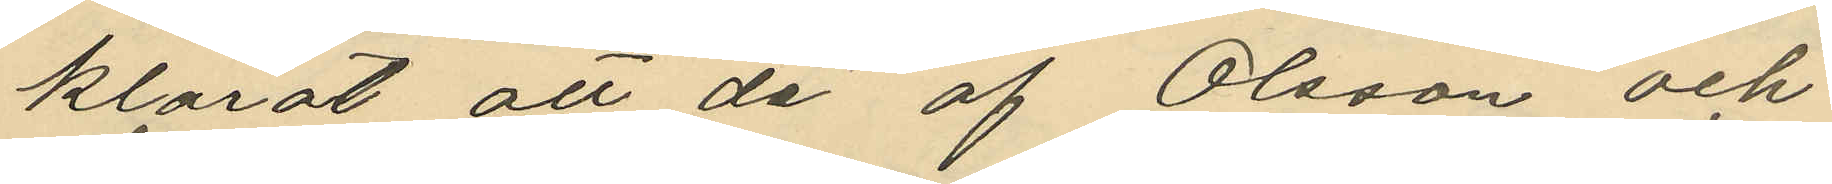klarat att de af Olsson och
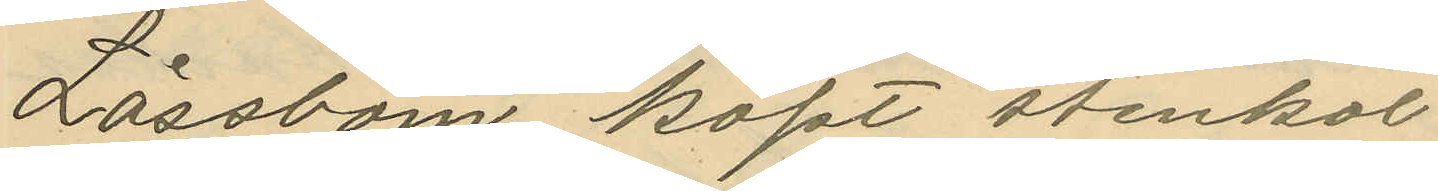Låssbom köpt stenkol
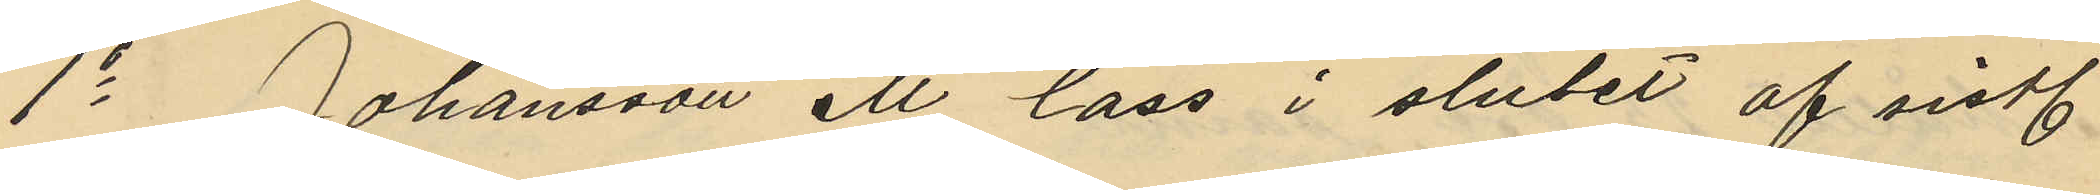1o Johansson ett lass i slutet af sistl.
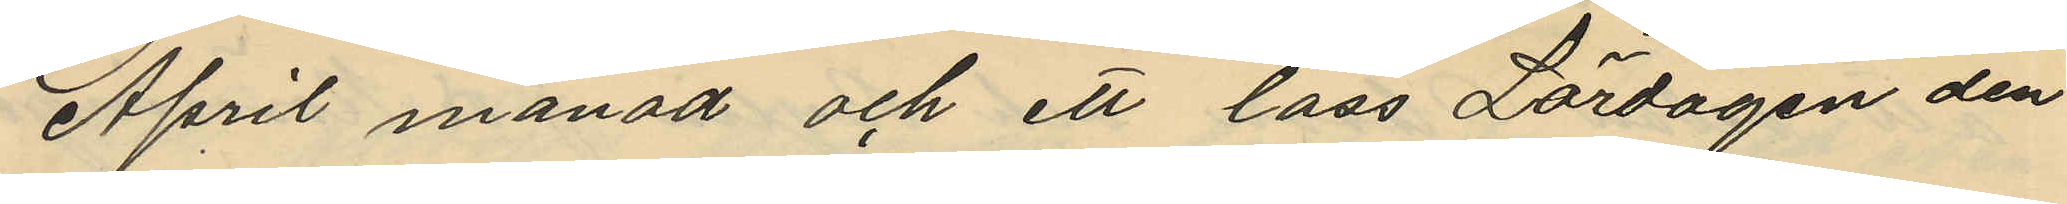April månad och ett lass Lördagen den
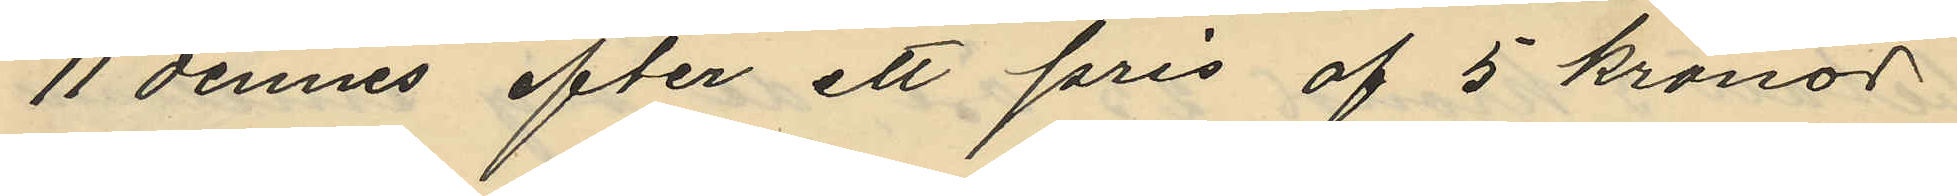11 dennes efter ett pris af 5 kronor
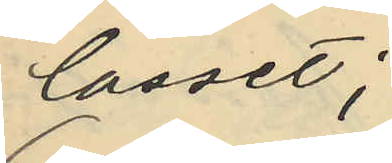lasset;
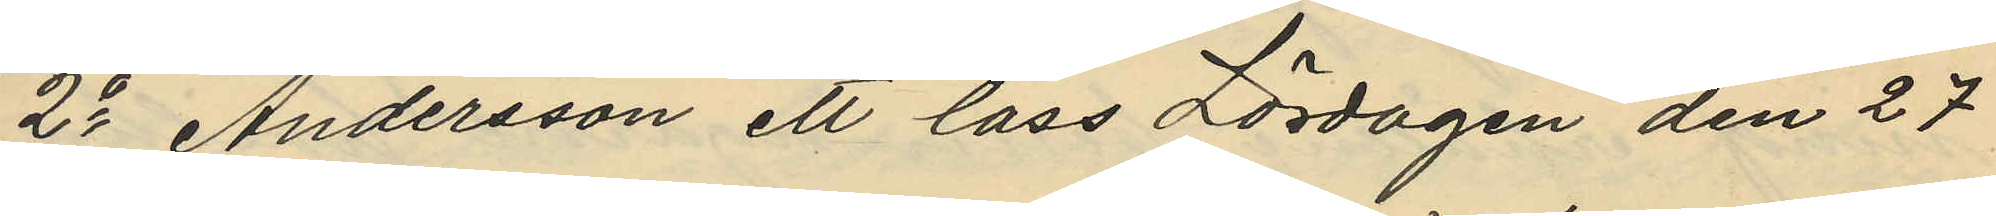2o Andersson ett lass Lördagen den 27
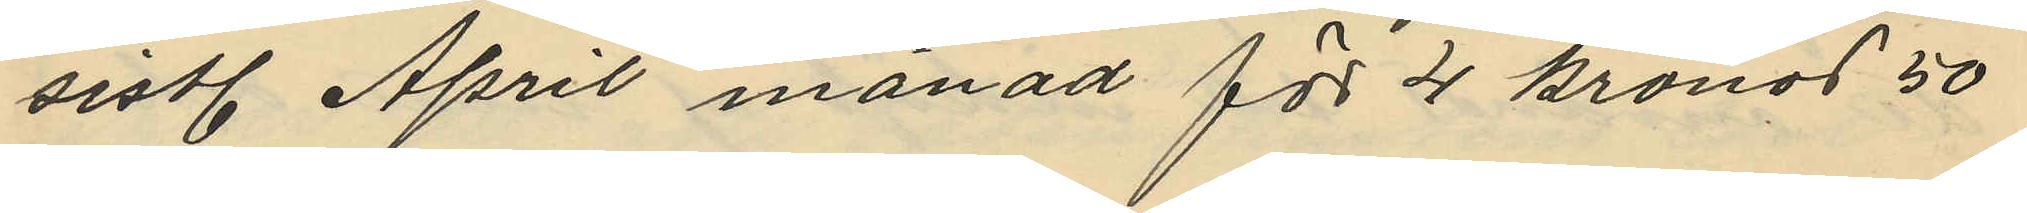sistl. April månad för 4 kronor 50
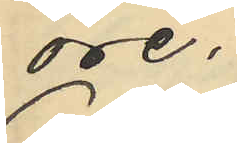öre,
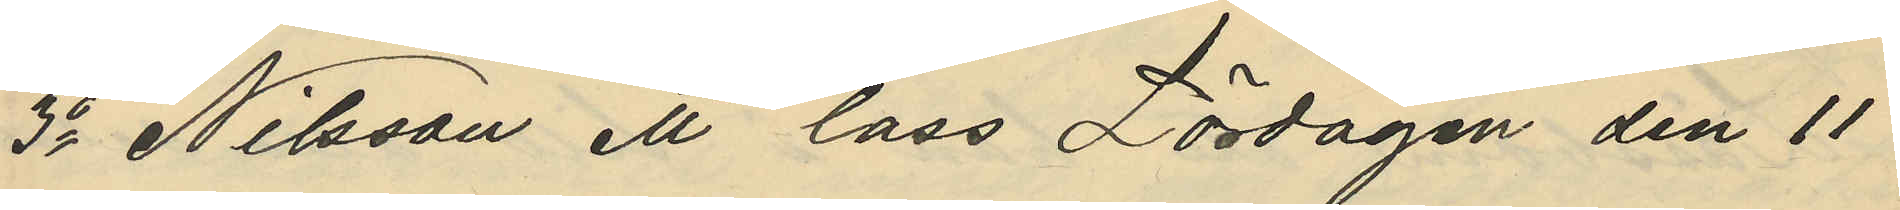3o Nilsson ett lass Lördagen den 11
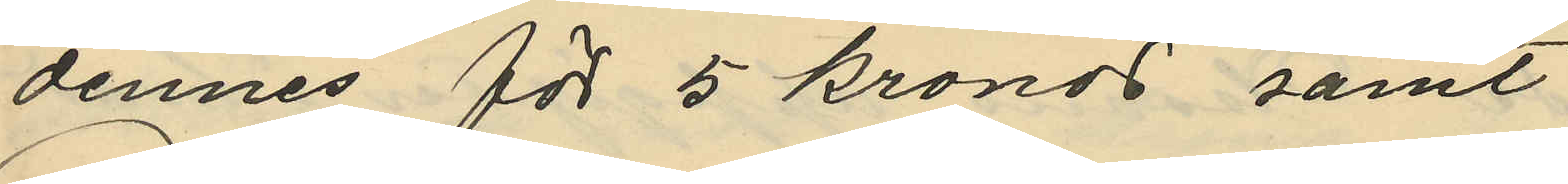dennes för 5 kronor samt
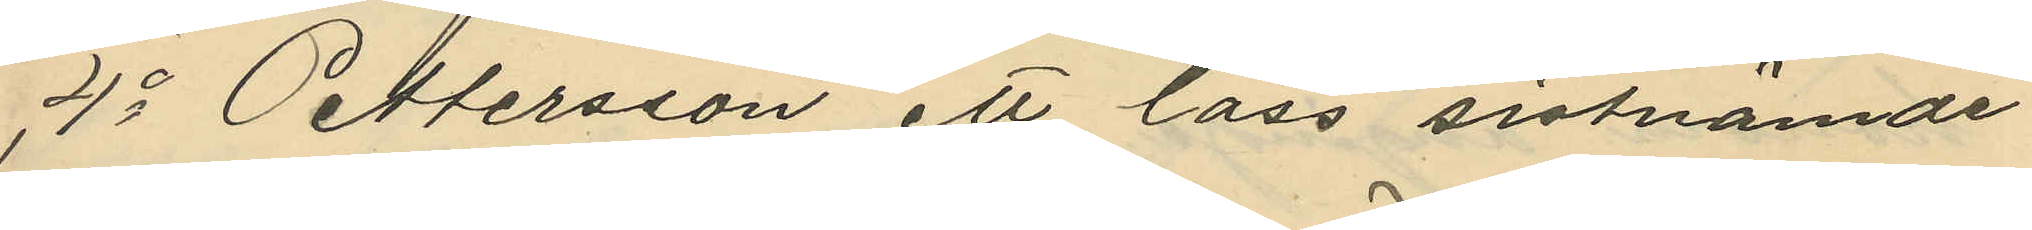4o Pettersson ett lass sistnämde
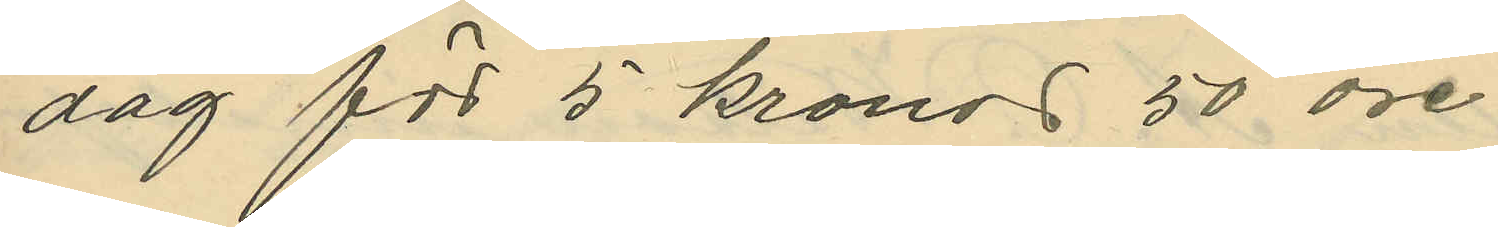dag för 5 kronor 50 öre
